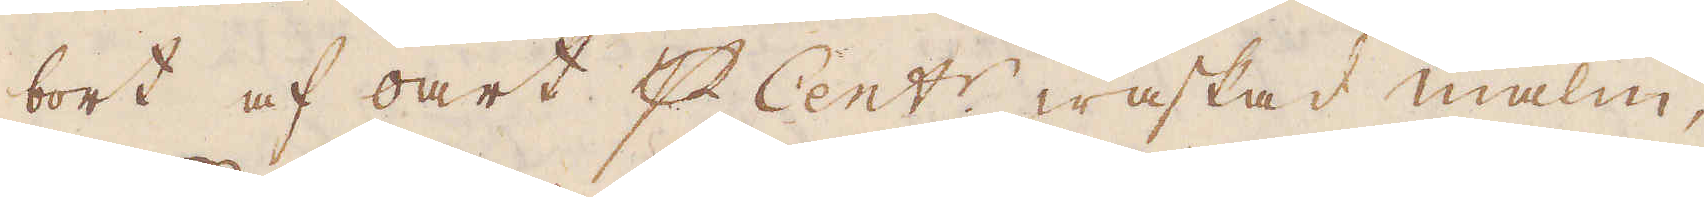bort af oart p Cent:r waskad malm;
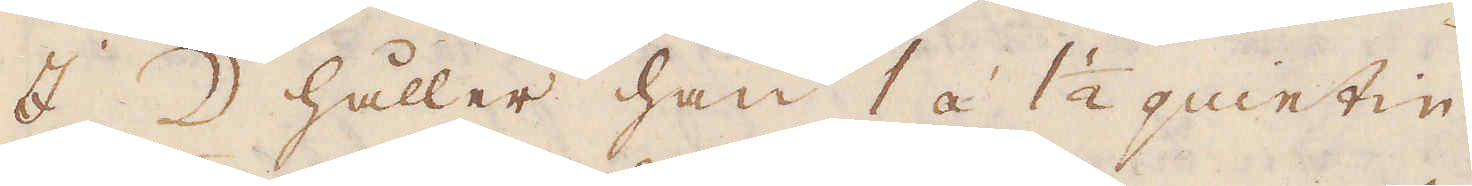I ☽ håller han 1 á 1 1/2 quintin.
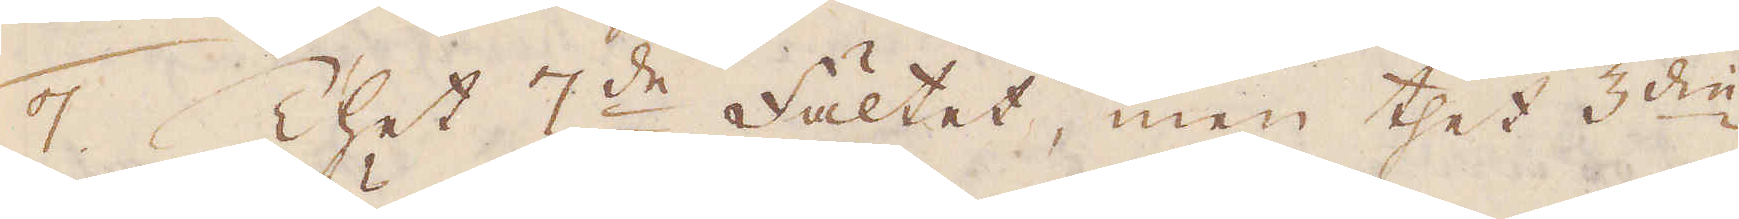7. Thet 7:de fältet, men thet 3:die
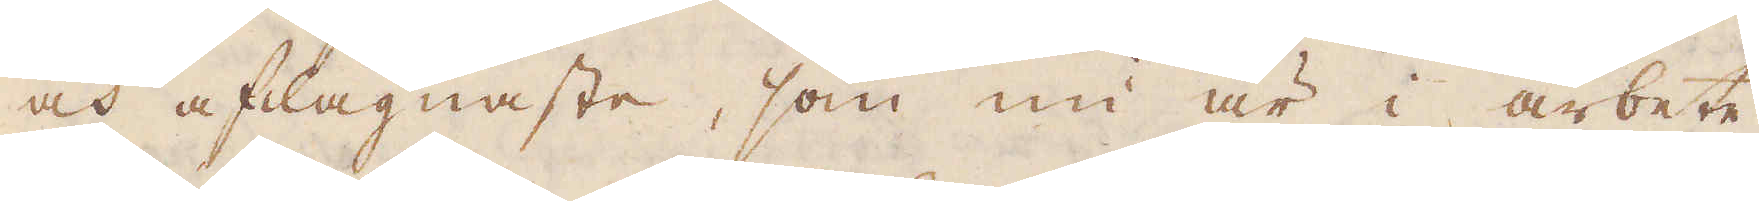och aflägnaste, som nu är i arbete
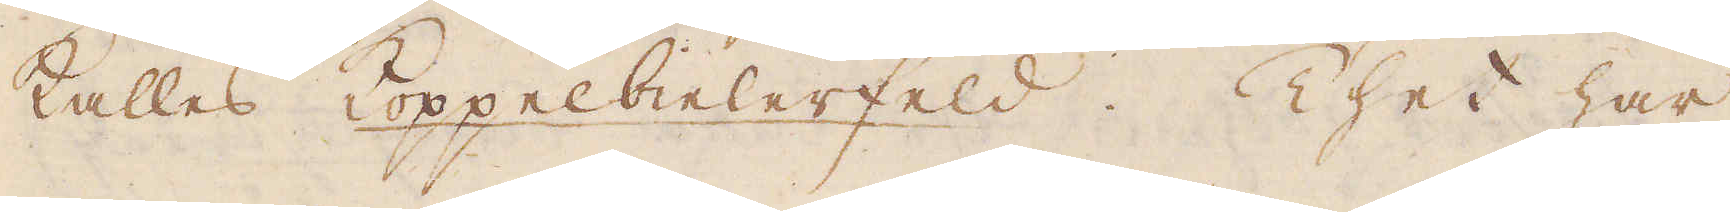kalles Koppelbielerfeld. Thet har
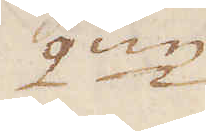2:ne
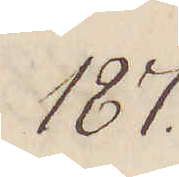187.
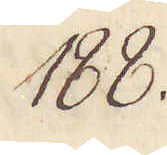188.
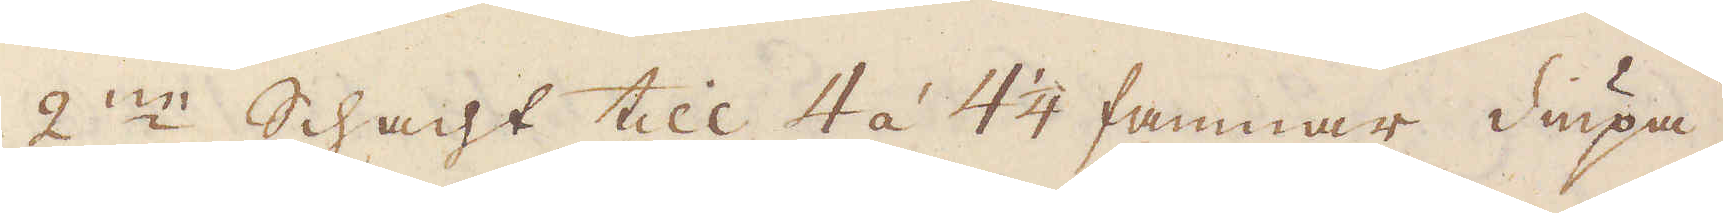2:ne Schact till 4 á 4 1/4 famnar diupa.
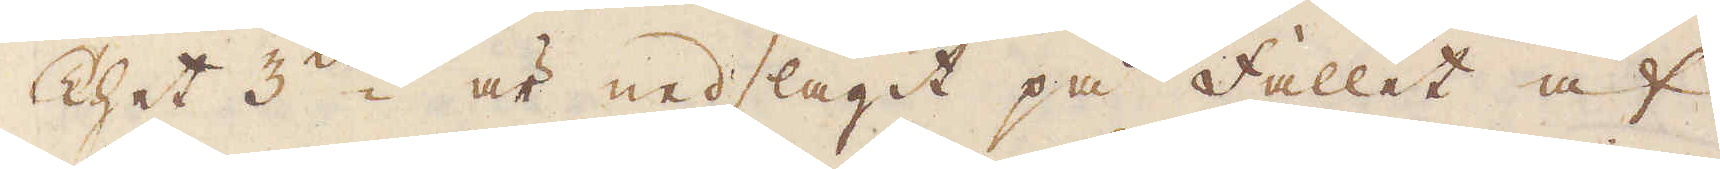Thet 3die i är nedslagit på fallet af
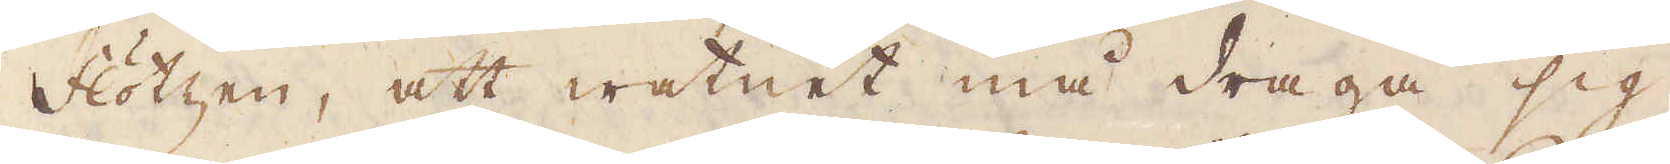Flötzen, att watnet må draga sig
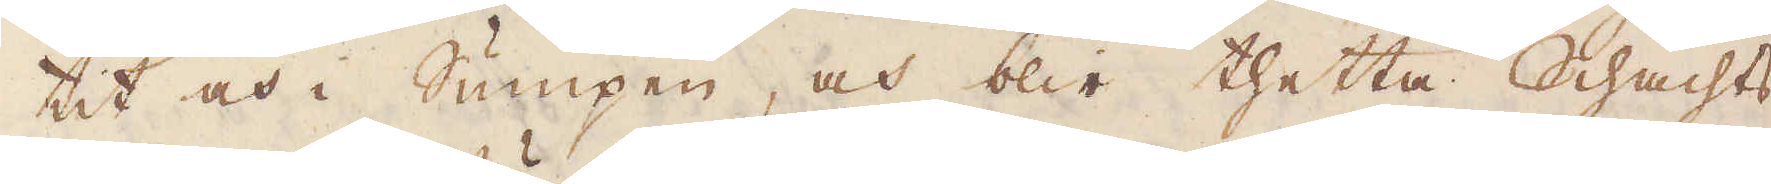tit och i Sumpen, och blir thetta Schachts
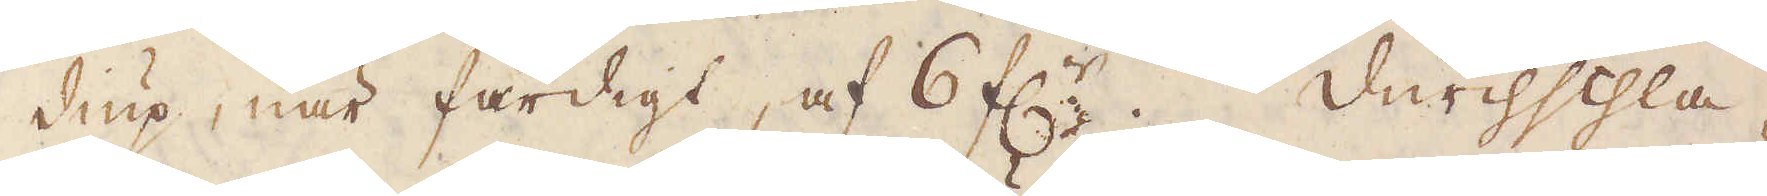diup, när färdigt, af 6 f:r. Durchschla-
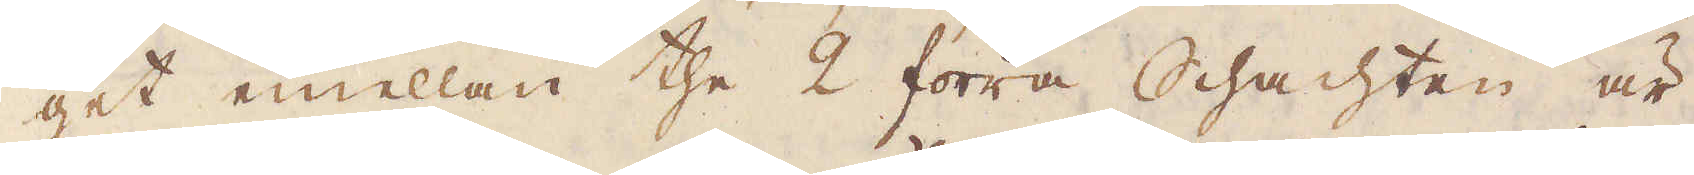get emellan the 2 förra Schachten är
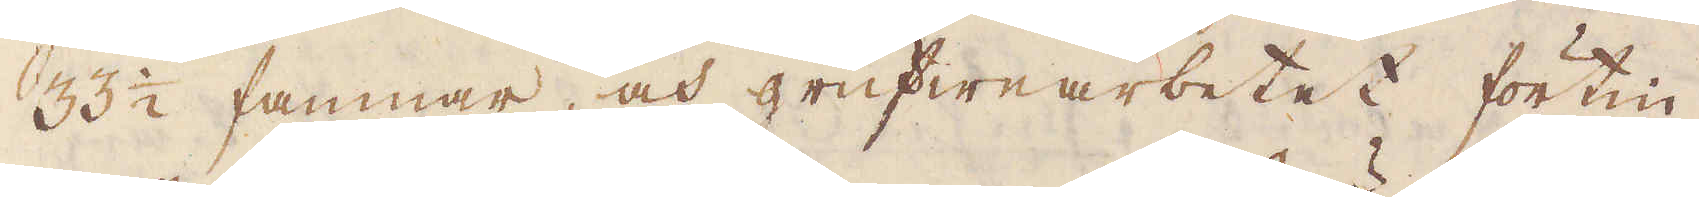33 1/2 famnar, och grufwearbetet förtin-
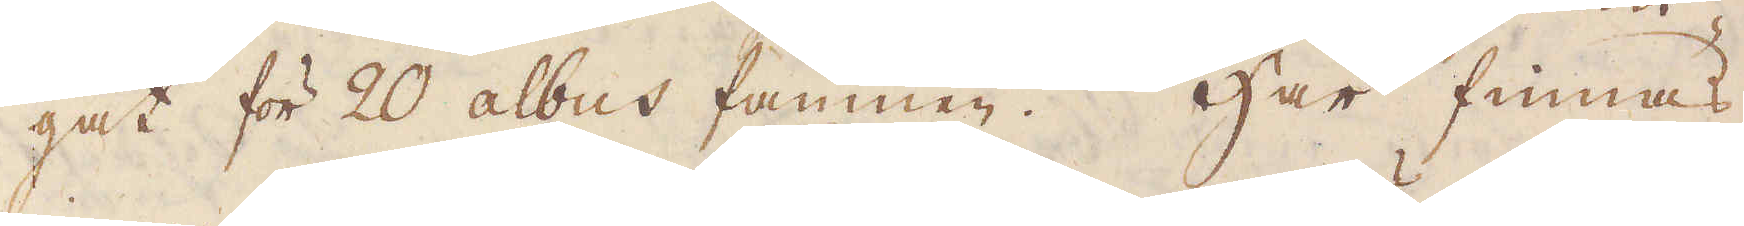gat för 20 albus famnen. Här finnas
